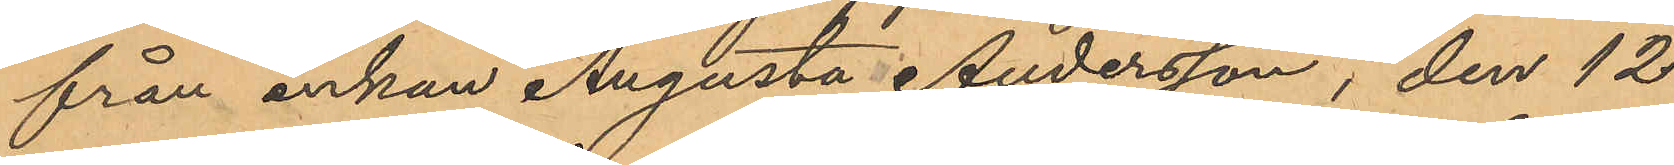från änkan Augusta Andersson, den 12
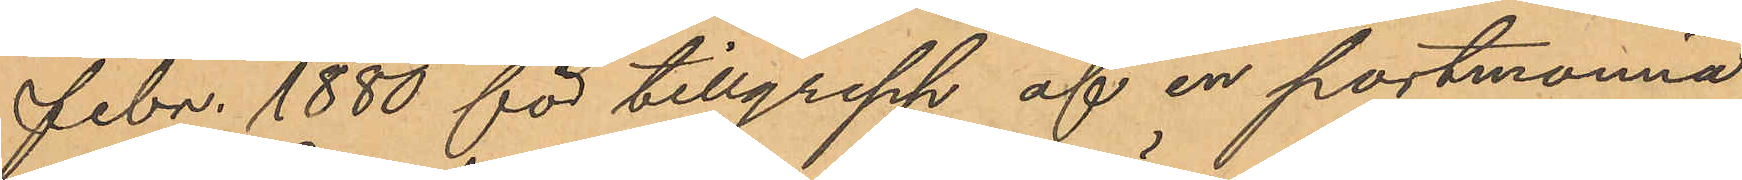Febr. 1880 för tillgrepp af en portmonnä
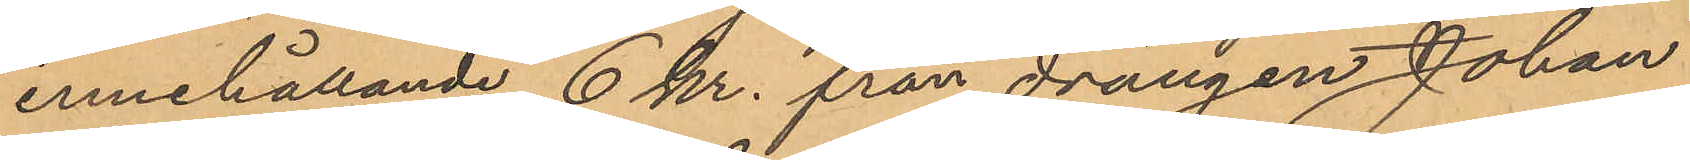innehållande 6 kr. från drängen Johan
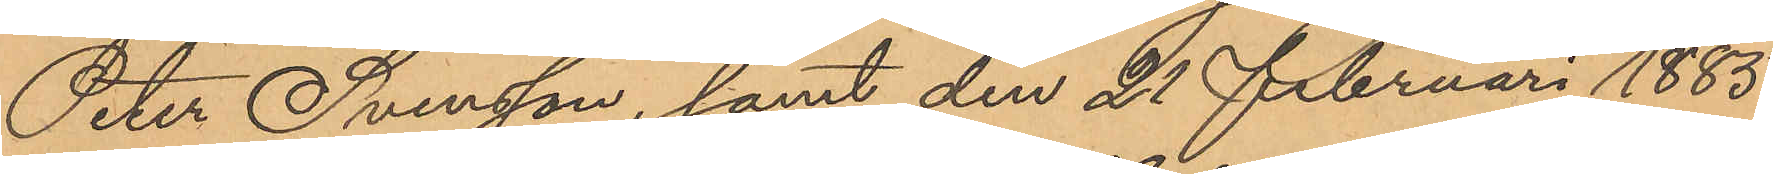Peter Svensson, samt den 21 Februari 1885
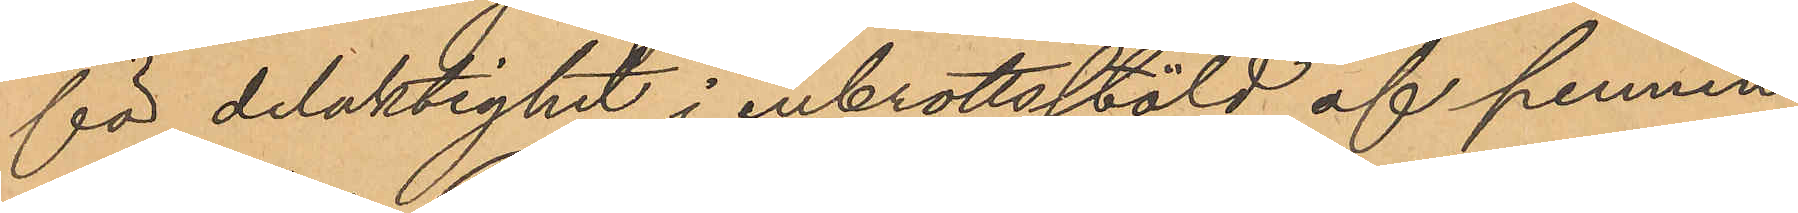för delaktighet i inbrottsstöld af pennin¬
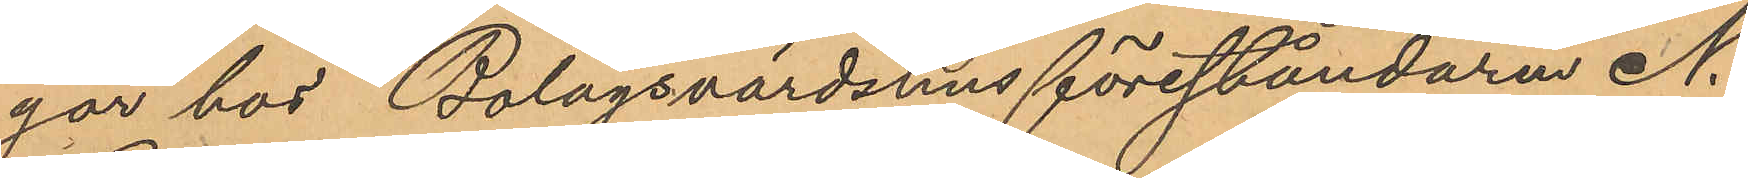gar hos Bolagsvärdshusföreståndaren N.
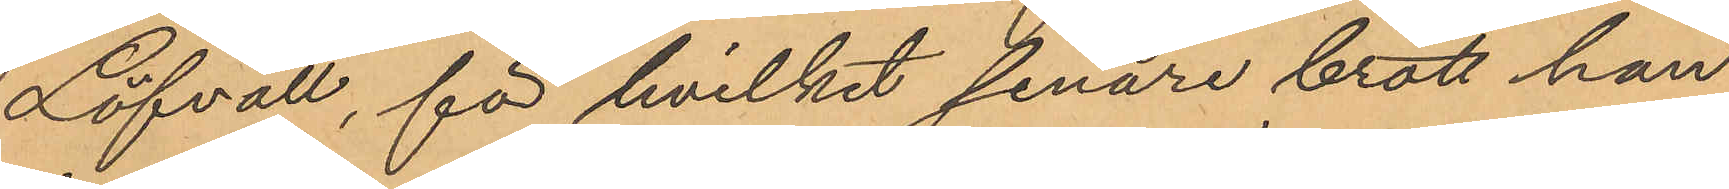Löfvall, för hvilket senare brott han
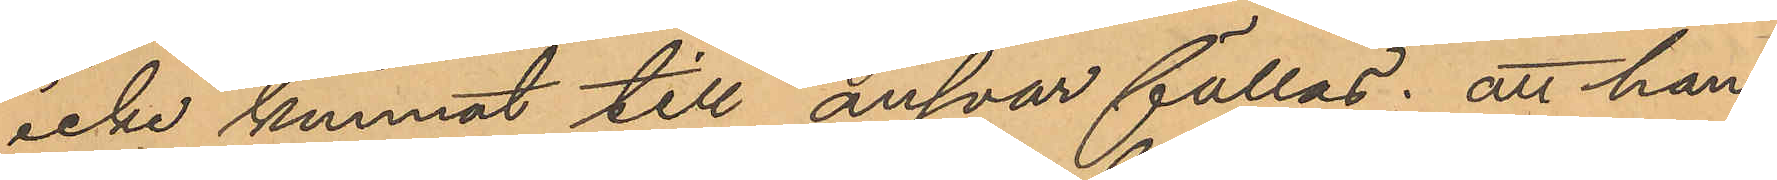icke kunnat till ansvar fällas; att han
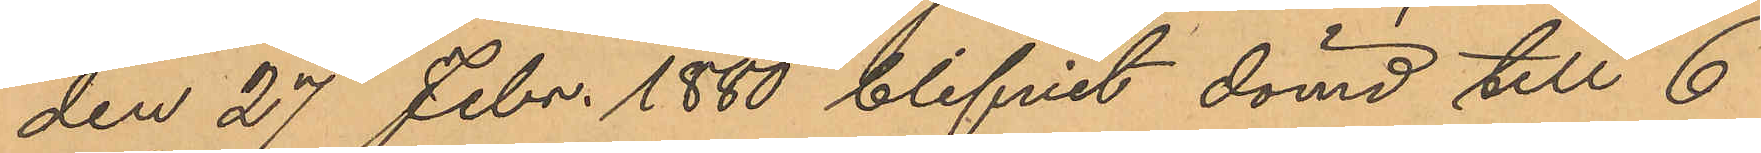den 27 Febr. 1880 blifvit dömd till 6
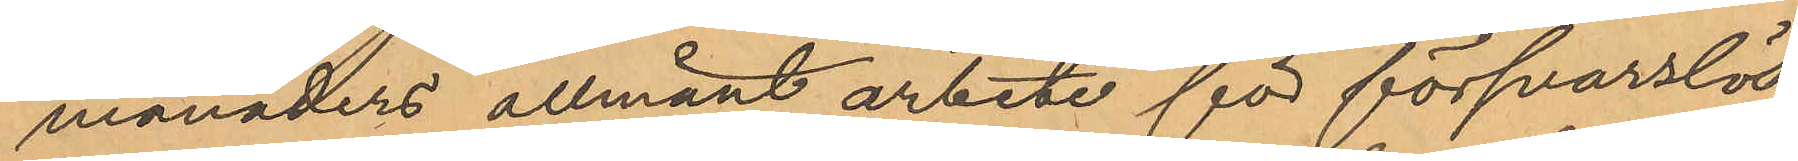månaders allmänt arbete för försvarslös¬
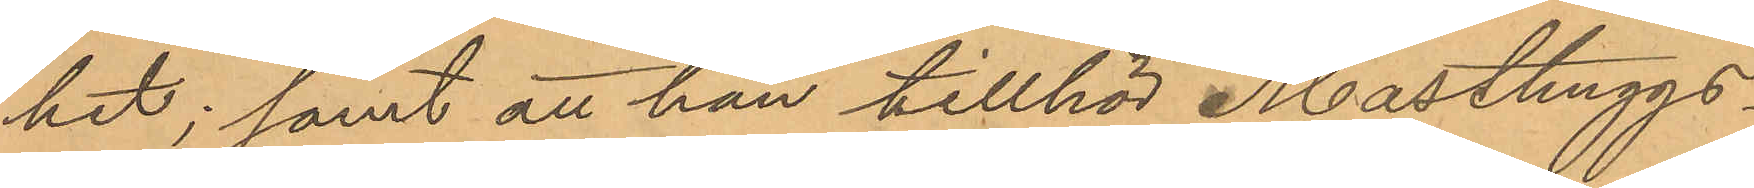het; samt att han tillhör Masthuggs¬
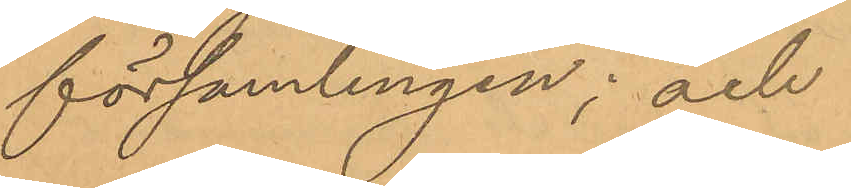församlingen; och
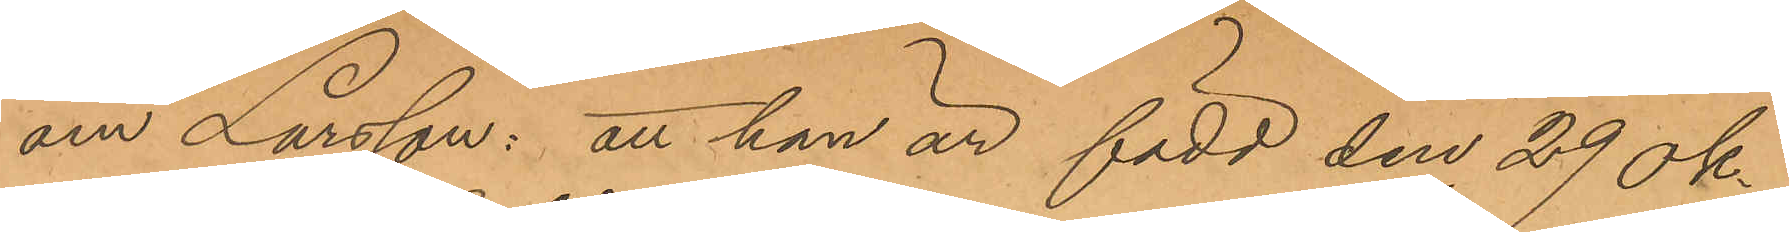om Larsson: att han är född den 29 ok¬
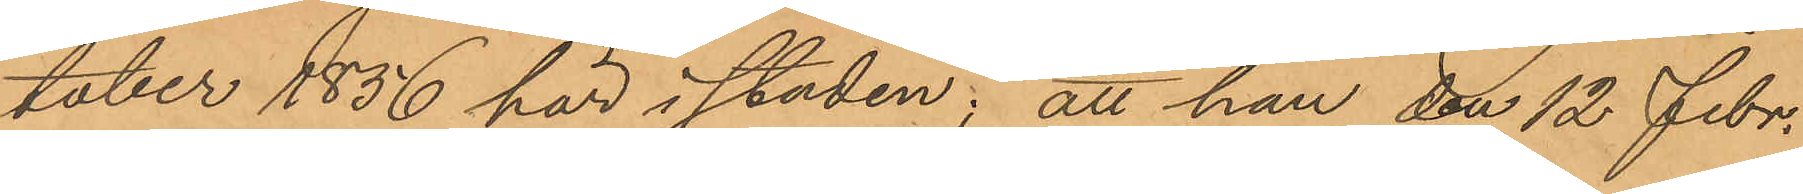tober 1856 här i staden; att han den 12 Febr.
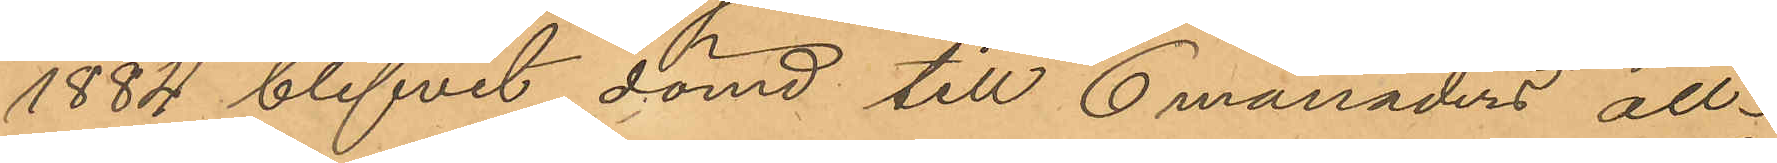1884 blifvit dömd till 6 månaders all¬
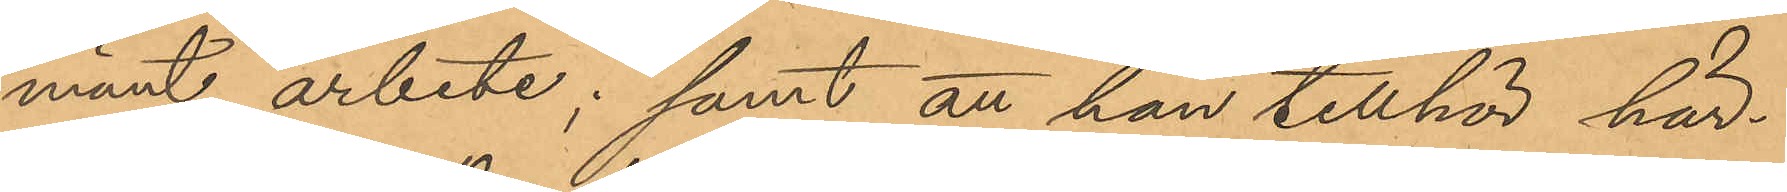mänt arbete; samt att han tillhör här¬
